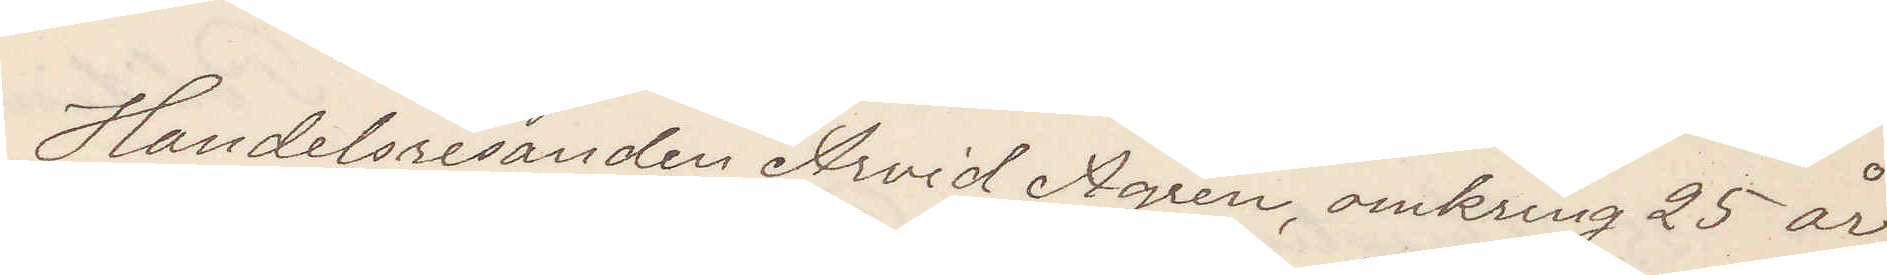Handelsresanden Arvid Ågren, omkring 25 år,
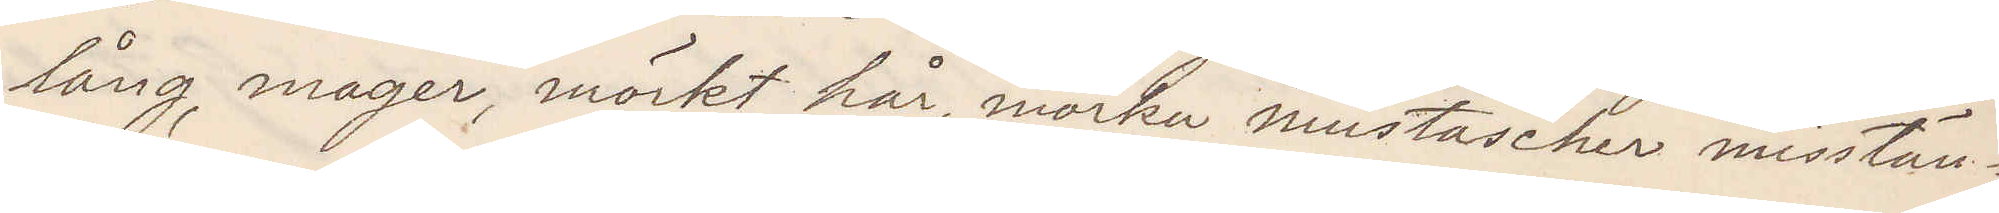lång, mager, mörkt hår, mörka mustascher misstän¬
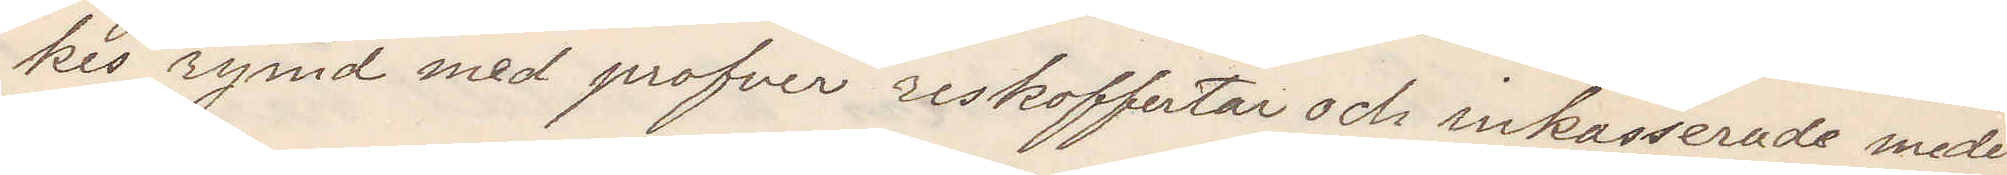kes rymd med profver reskoffertar och inkasserade medel
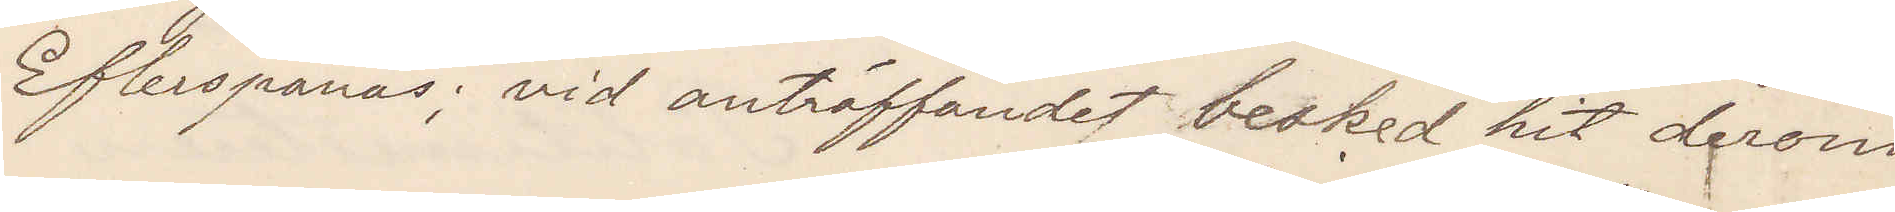Efterspanas; vid anträffandet besked hit derom
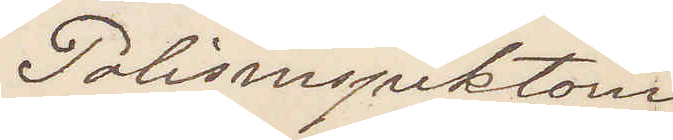Polisinspektorn
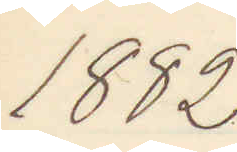1882
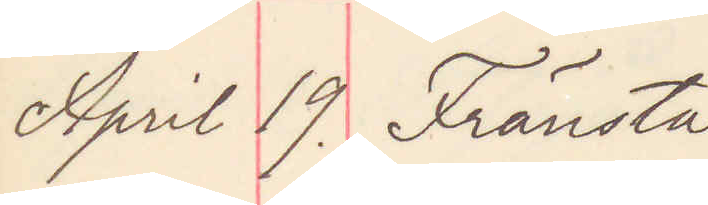April 19. Fränsta
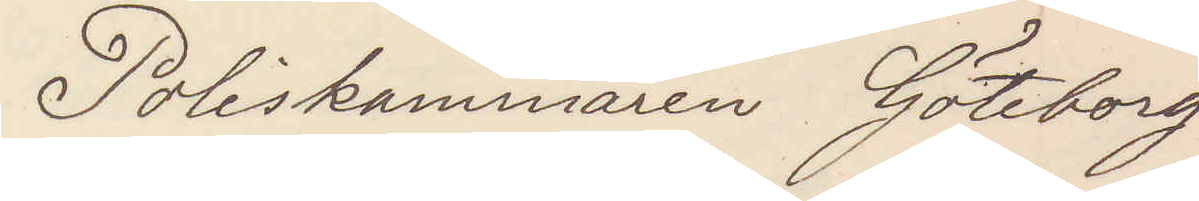Poliskammaren Göteborg
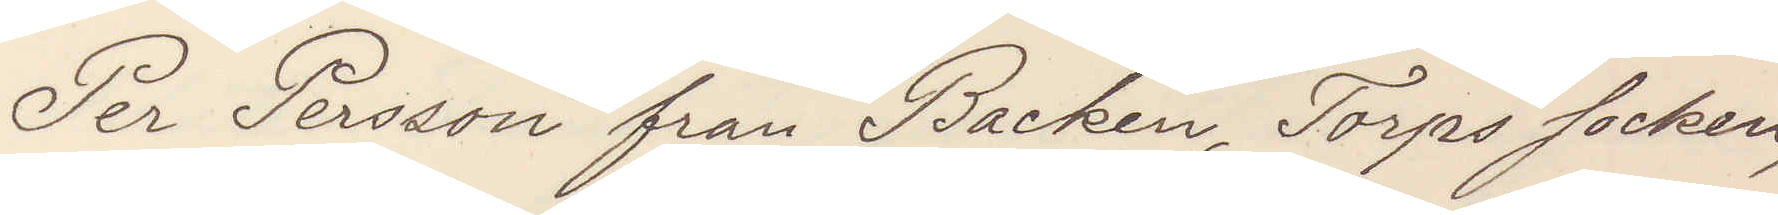Per Persson från Backen, Torps socken,
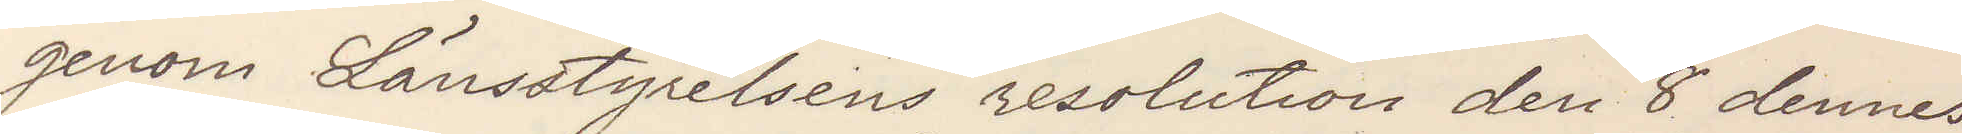genom Länsstyrelsens resolution den 8 dennes
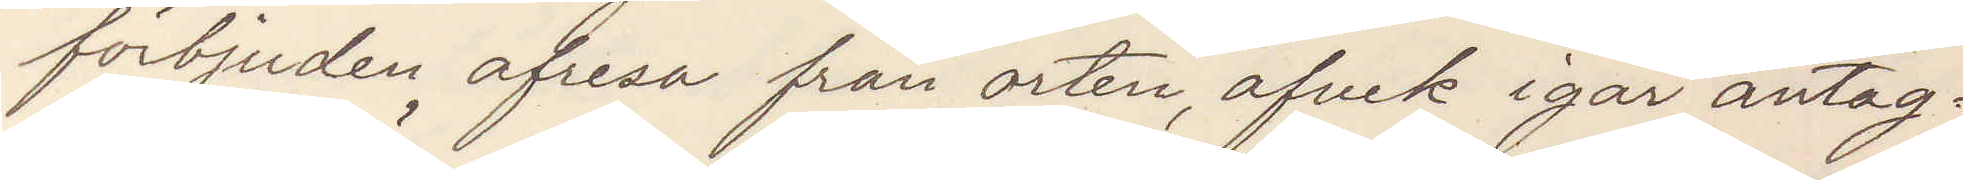förbjuden afresa från orten, afvek igår antag¬
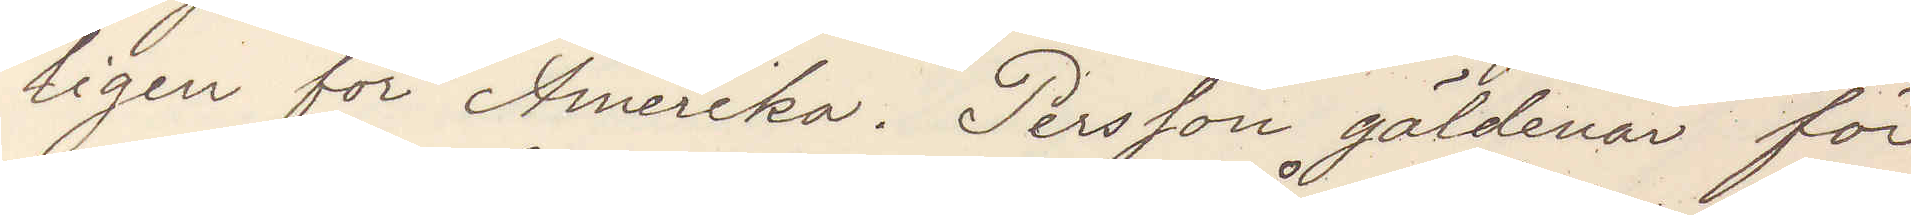ligen för Amerika. Persson gäldenär för
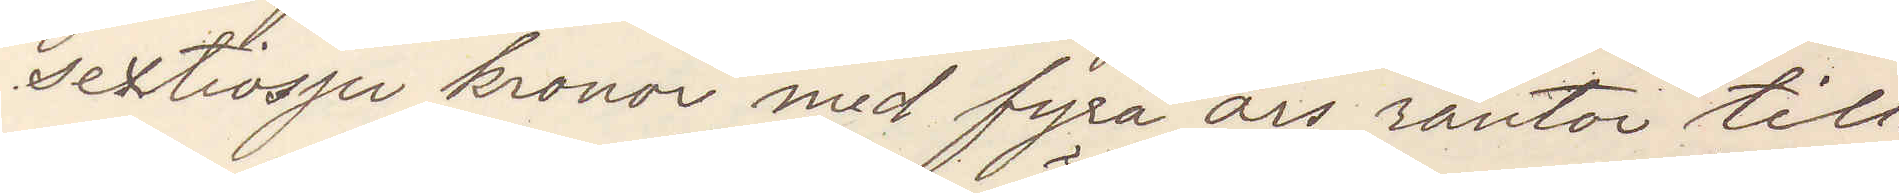sextiosju kronor med fyra års räntor till
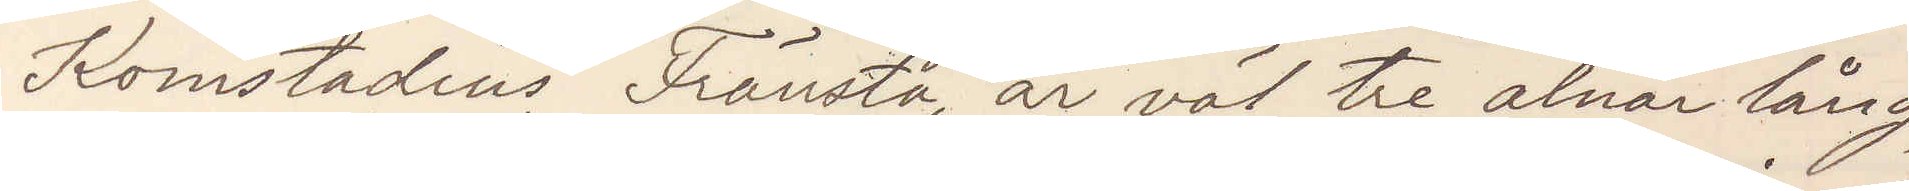Komstadius Fränsta, är väl tre alnar lång,
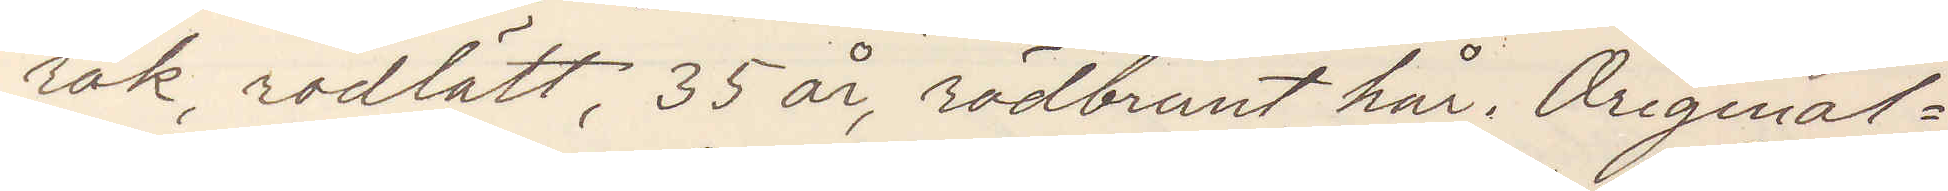rak rödlätt, 35 år, rödbrunt hår. Original¬
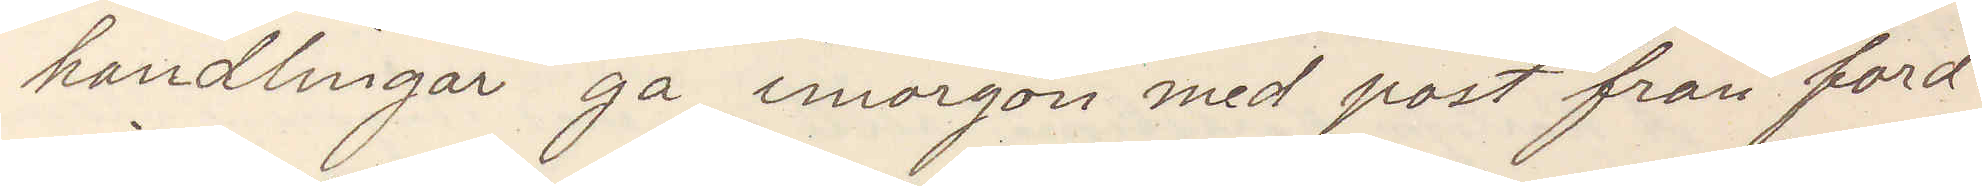handlingar gå imorgon med post från ford¬
